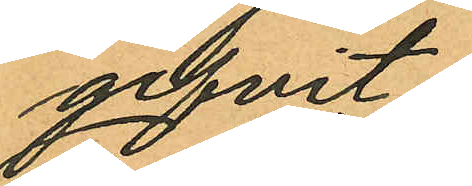gifvit:
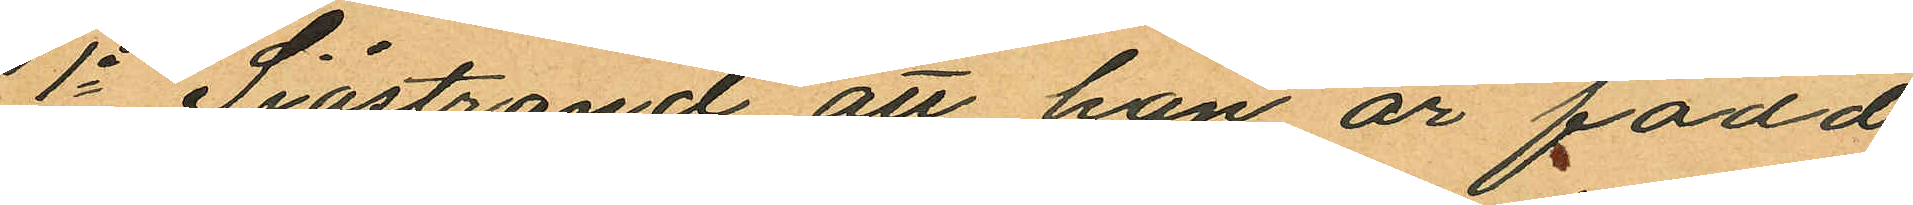1o Sjöstrand att han är född
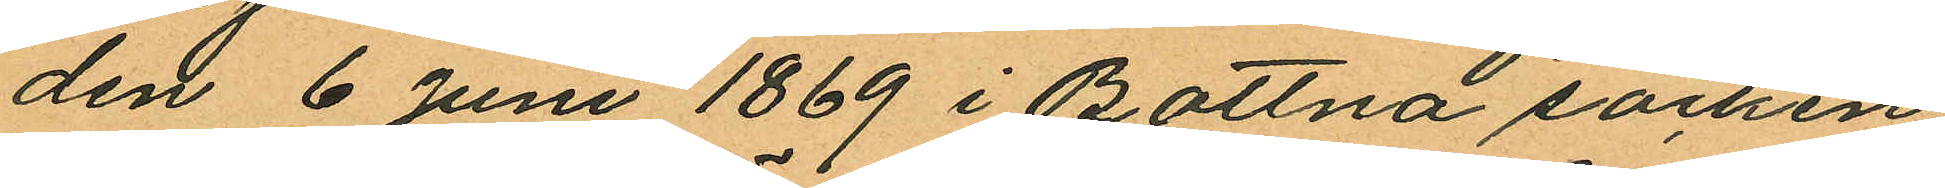den 6 Juni 1869 i Bottna socken
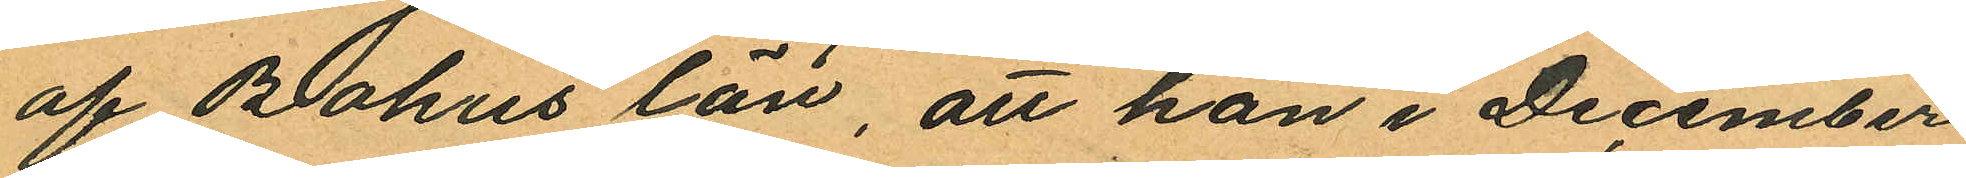af Bohus län, att han i December
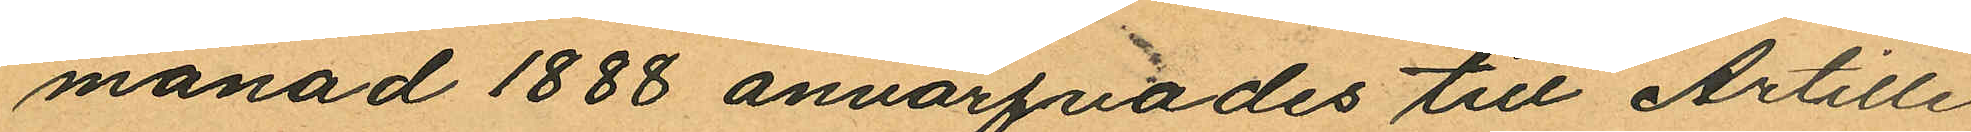månad 1888 anvärfades till Artille
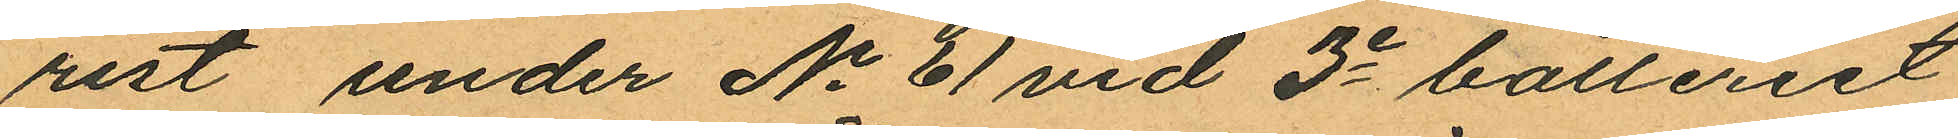rist under No 61 vid 3e batteriet
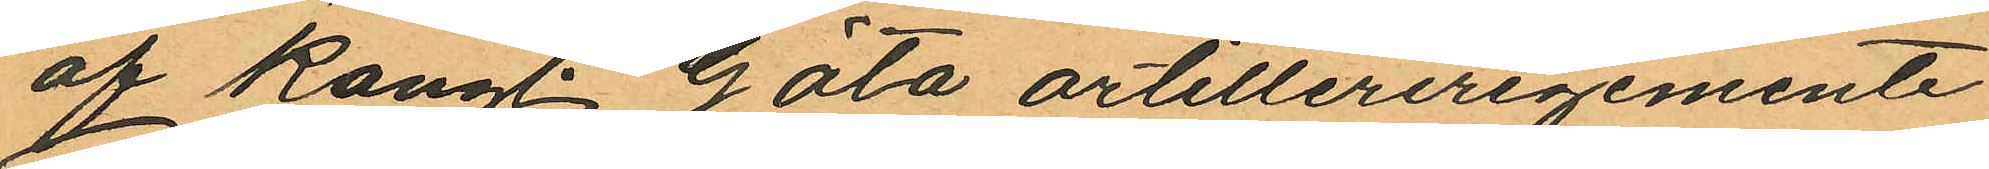af Kongl. Göta artilleriregemente
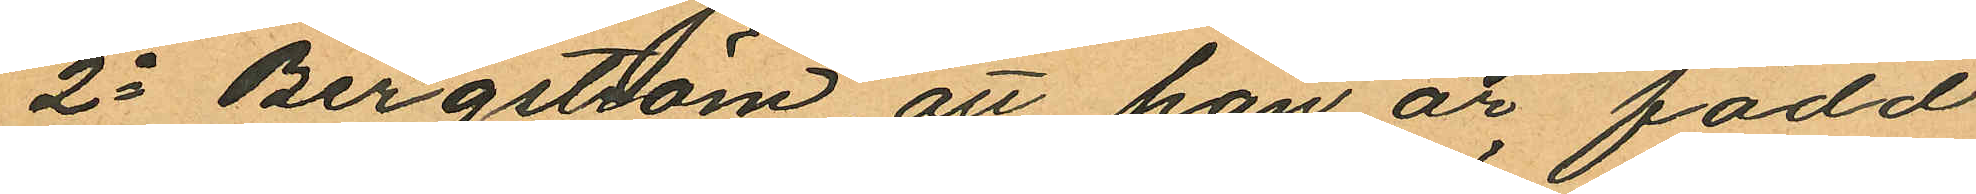2o Bergström att han är född
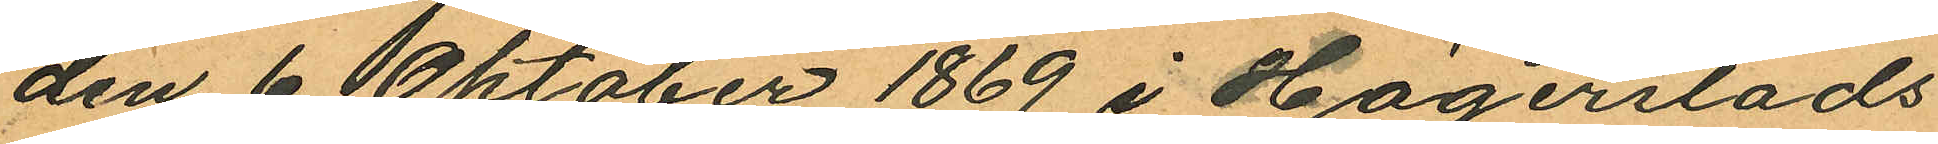den 6 Oktober 1869 i Högerstads
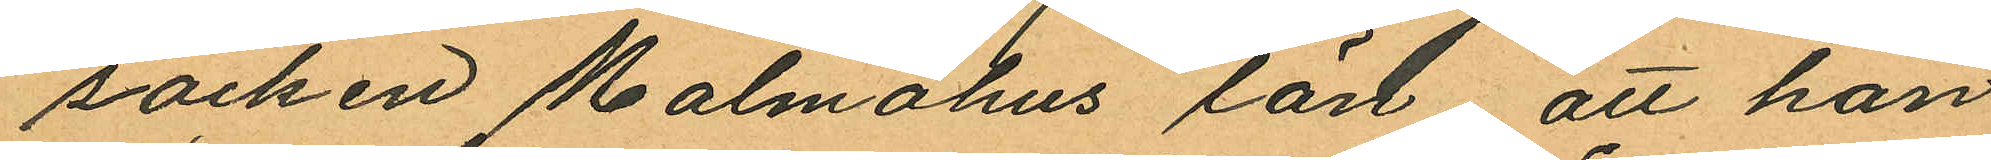socken Malmöhus län, att han
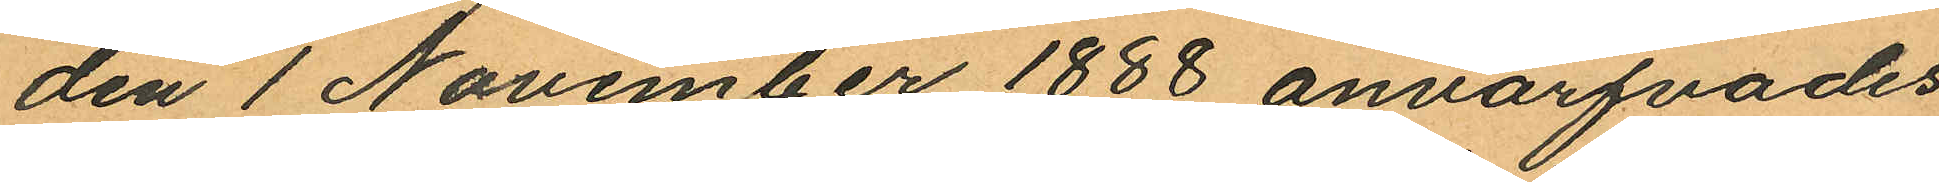den 1 November 1888 anvärfvades
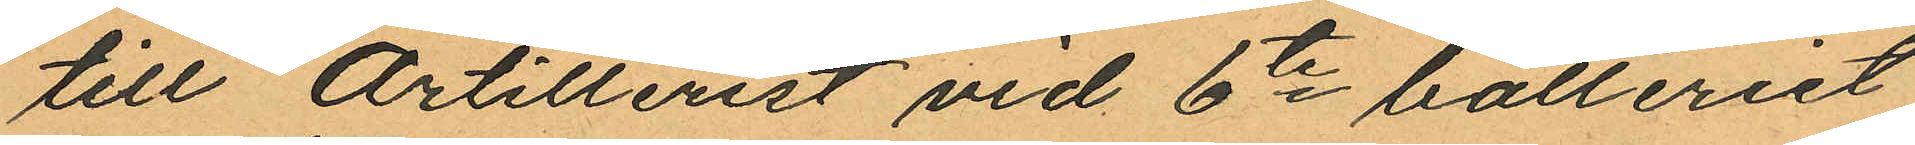till Artillerist vid 6te batteriet
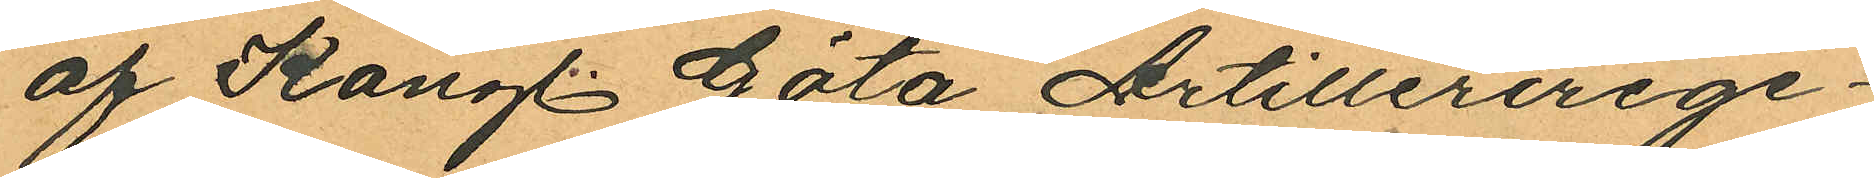af Kongl. Göta Artillerirege¬
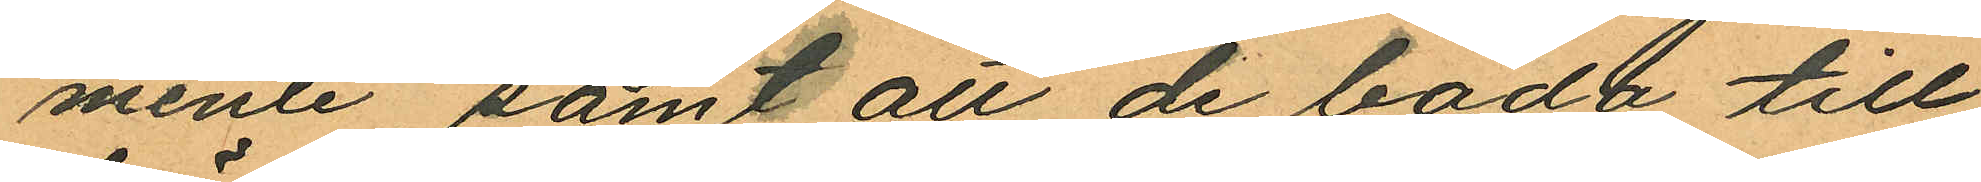mente, samt att de båda till
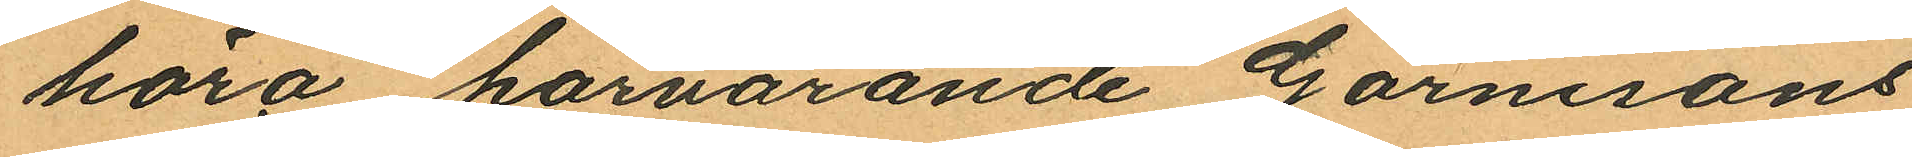höra härvarande Garnisons
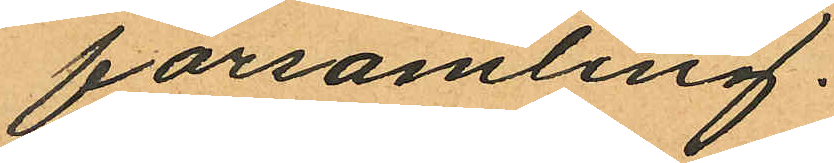församling.
